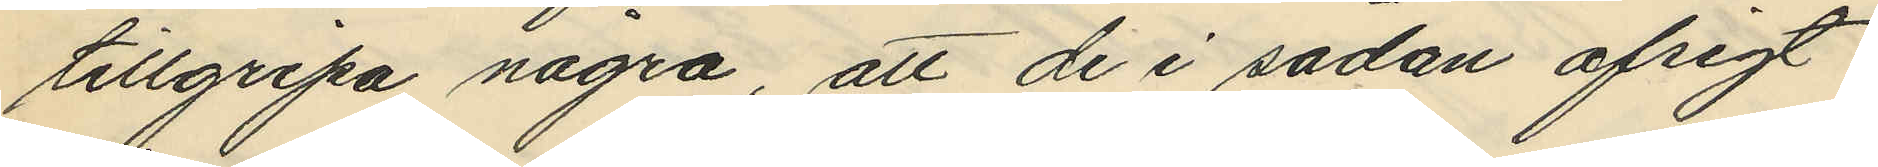tillgripa några, att de i sådan afsigt
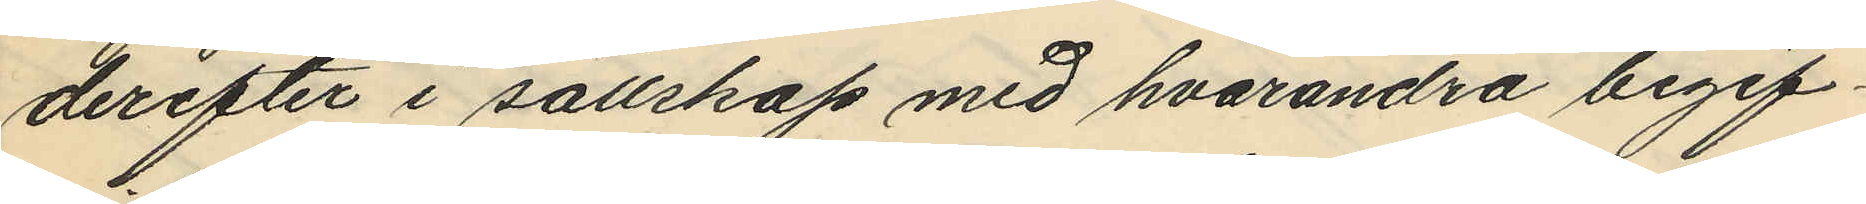derefter i sällskap med hvarandra begif¬
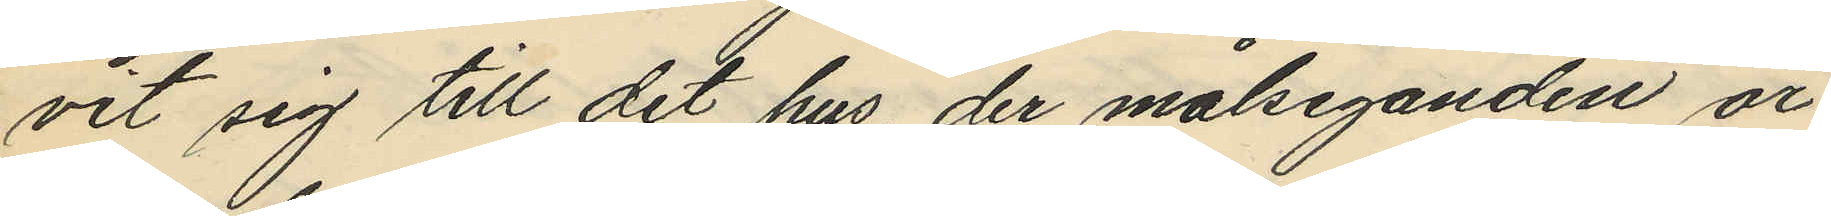vit sig till det hus, der målseganden är
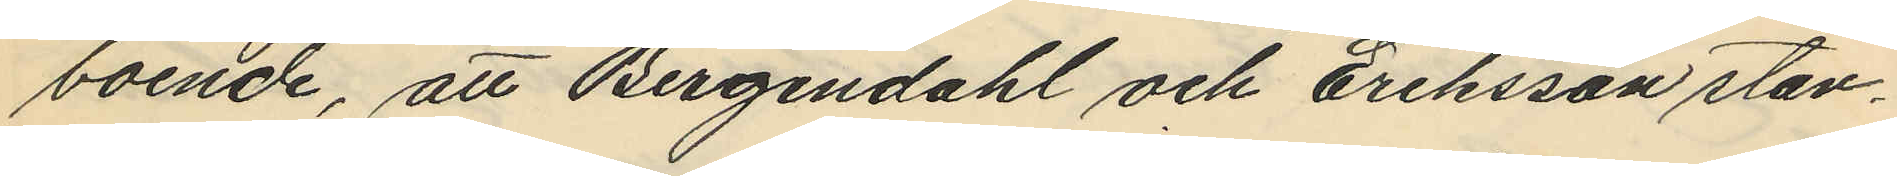boende, att Bergendahl och Eriksson stan¬
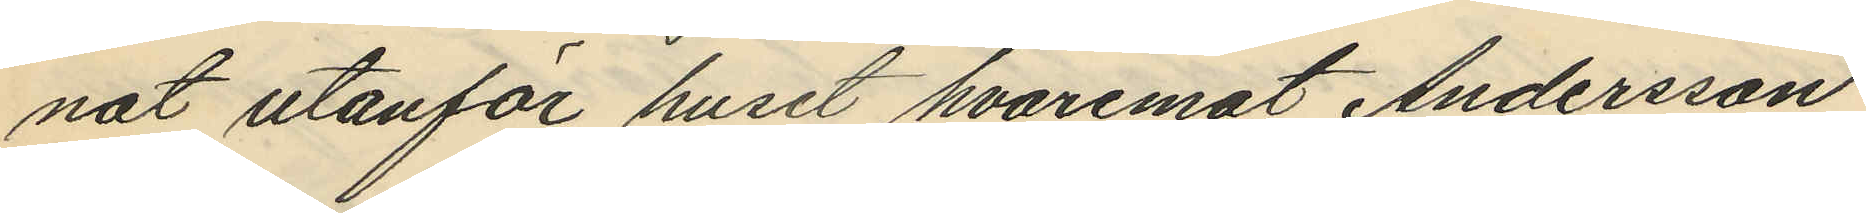nat utanför huset hvaremot Andersson
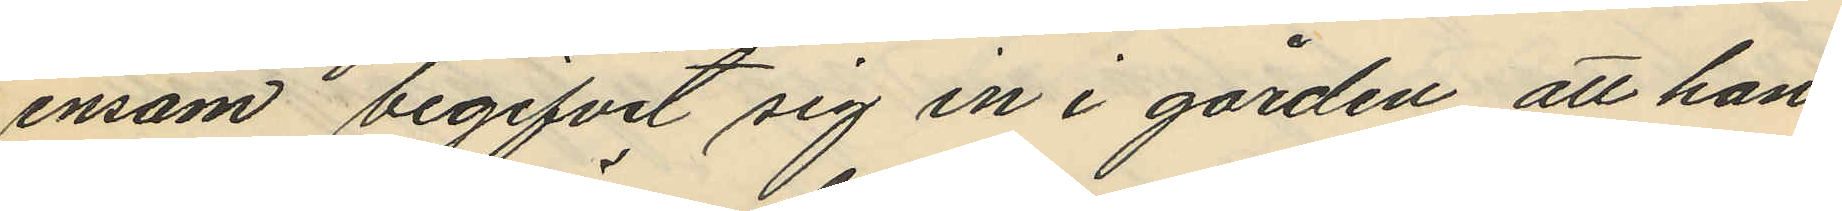ensam begifvit sig in i gården, att han
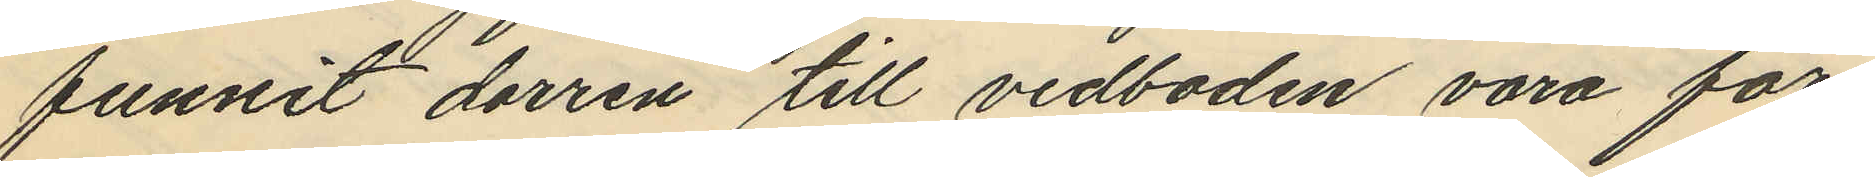funnit dörren till vedboden vara för¬
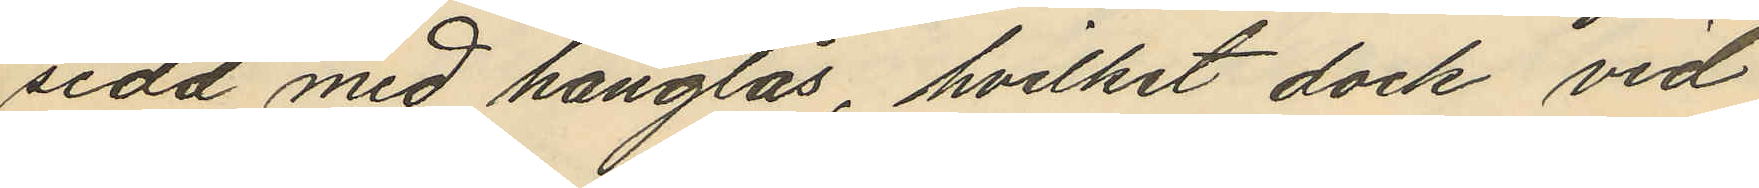sedd med hänglås, hvilket dock vid
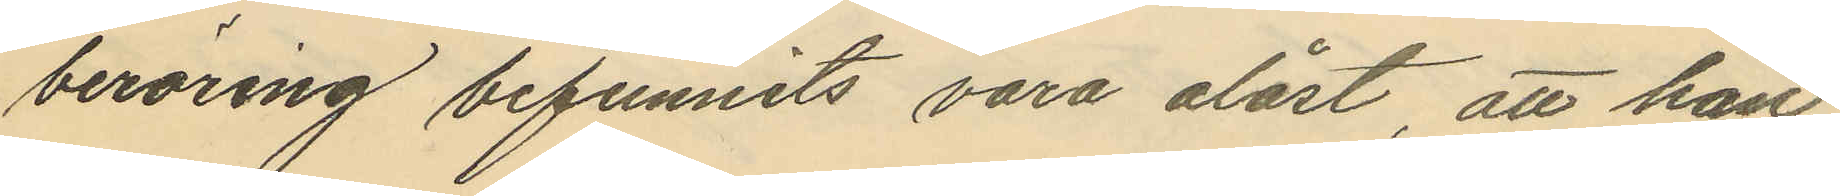beröring befunnits vara olåst, att han
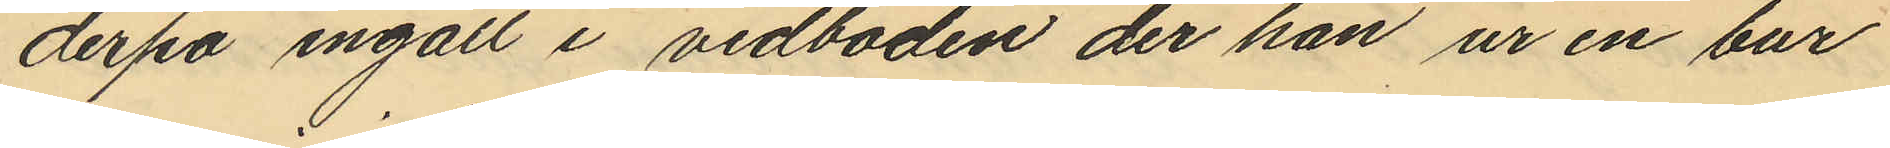derpå ingått i vedboden der han ur en bur
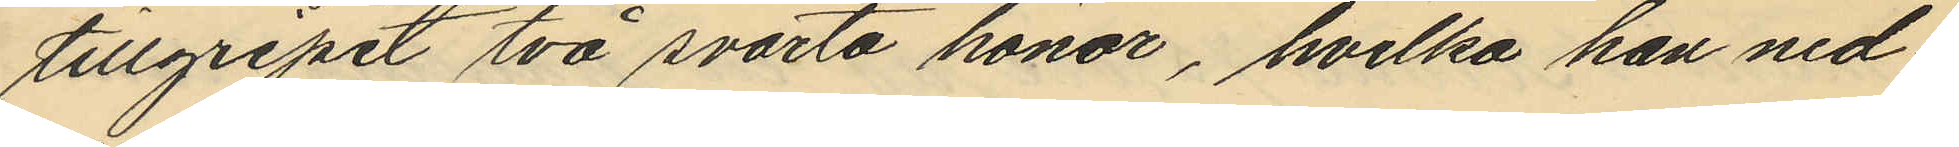tillgripit två svarta hönor, hvilka han ned¬
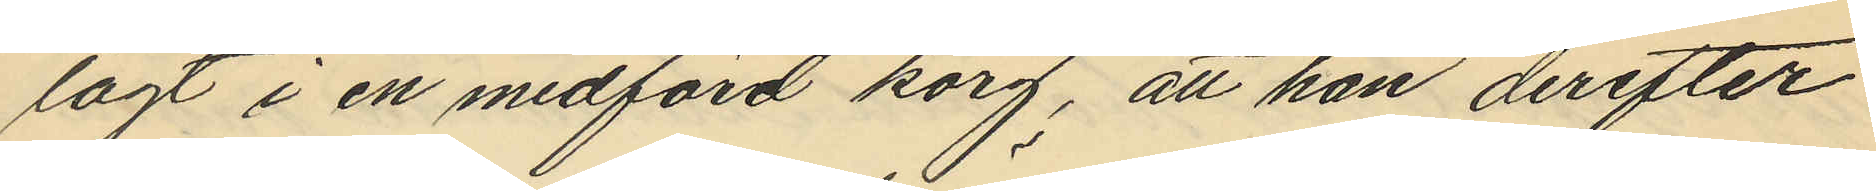lagt i en medförd korg, att han derefter
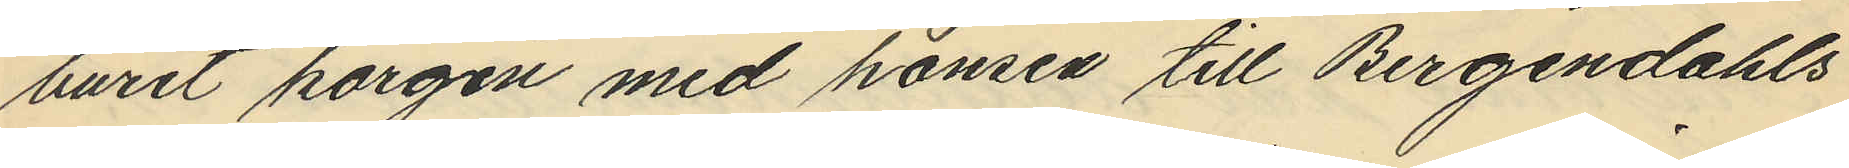burit korgen med hönsen till Bergendahls
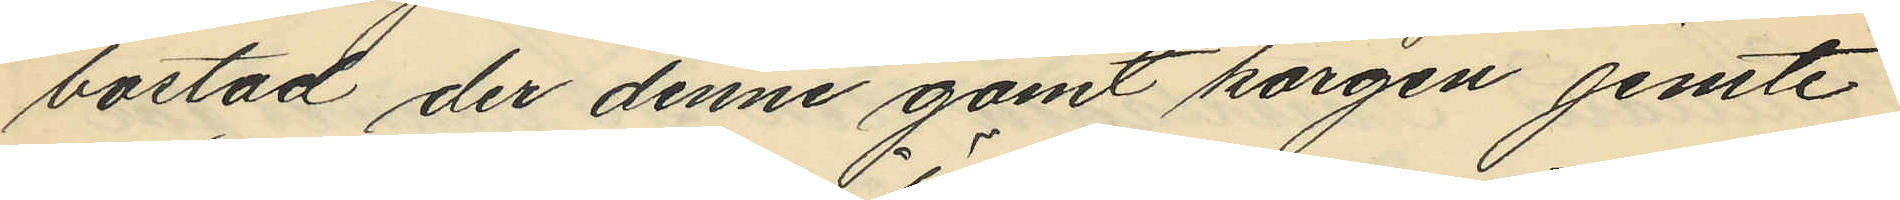bostad der denne gömt korgen jemte
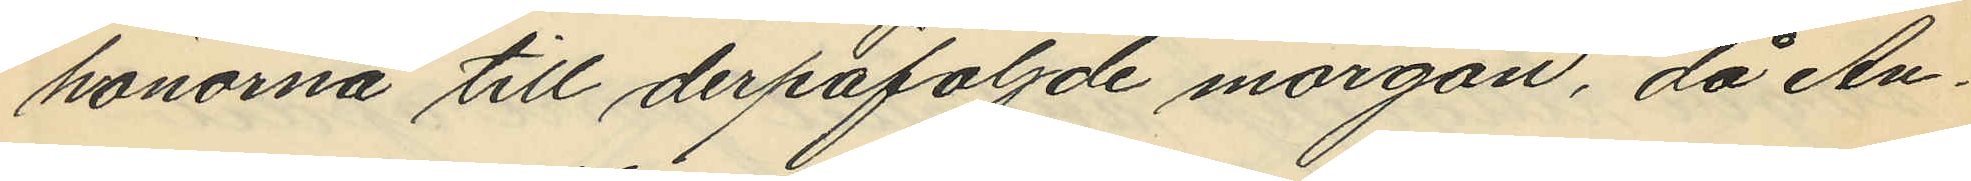hönorna till derpåföljde morgon, då An¬
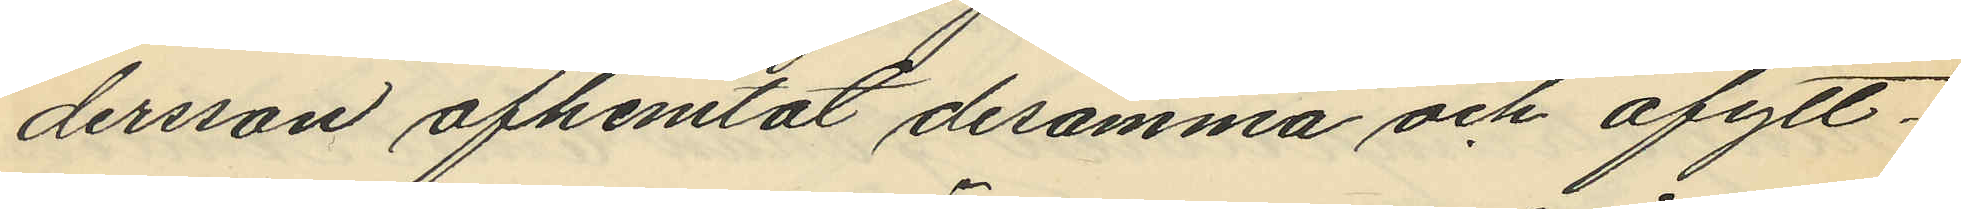dersson afhemtat desamma och afytt¬
